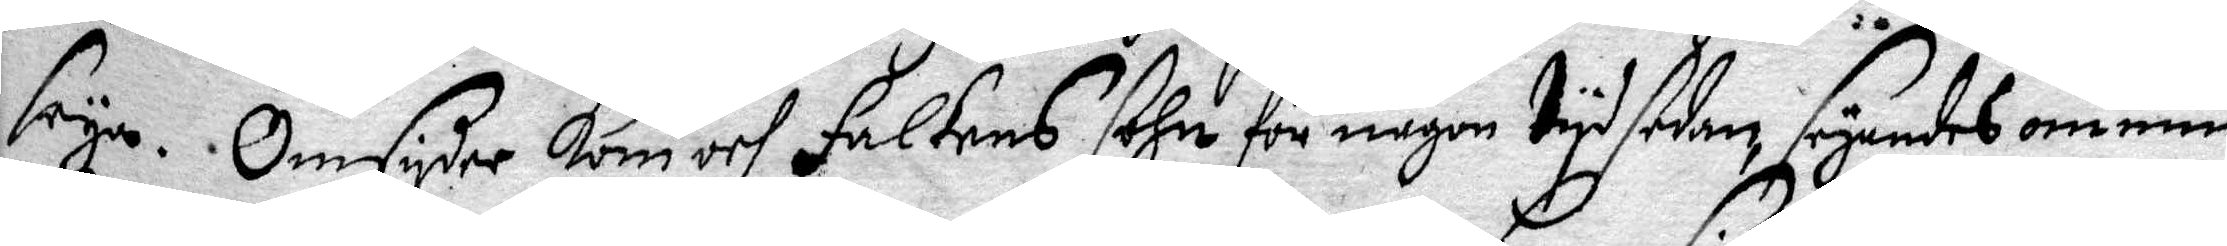säya. Omsyder kom och Falkens Sohn för någon tyd sedan, seyandes om min
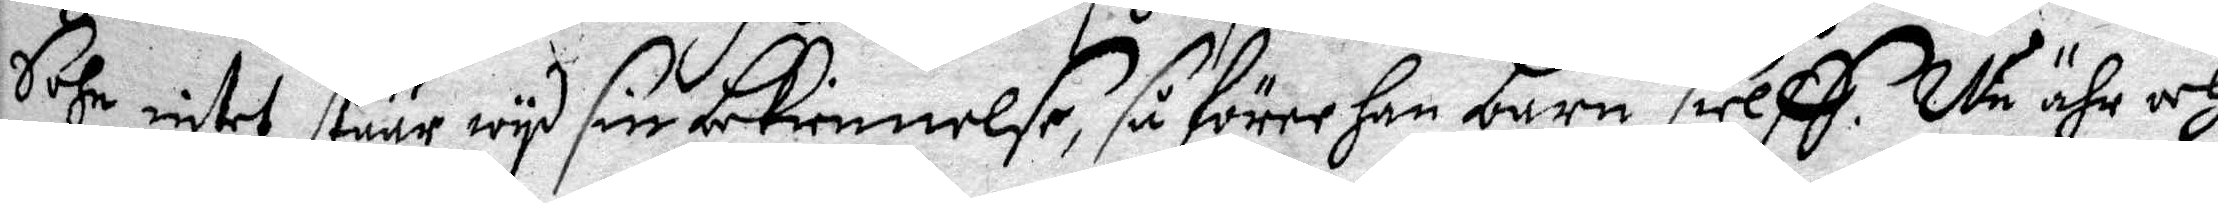Sohn intet stuur wyd sin bekiennelse, så förer Han Barn sielff. Nu ähr och
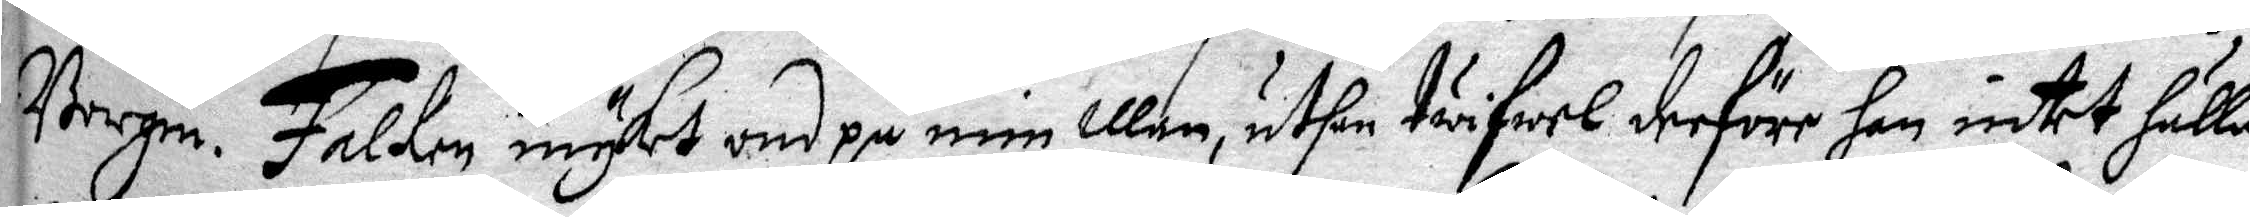Borgm. Falken mycket ond på min Man, uthan twifwel derföre Han intet hålla
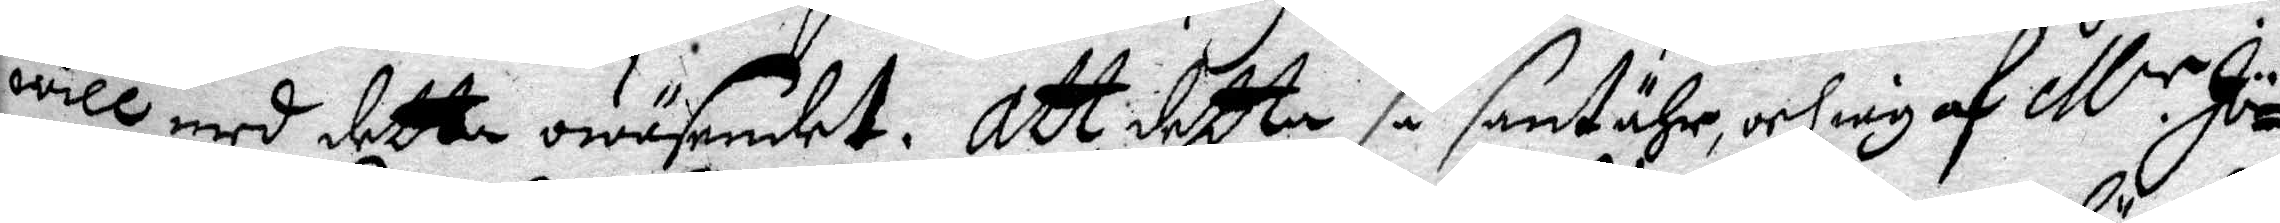will med detta wäsendet. Att detta så sant ähr, och iag af M.r Jö¬
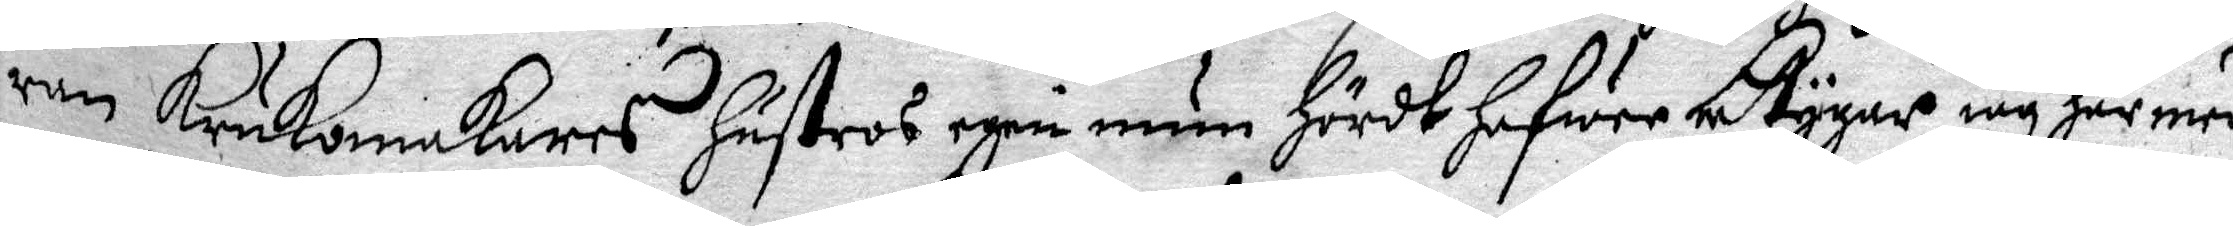ran krukomakares Hustro egen mun Hördt Hafwer betygar iag Här med
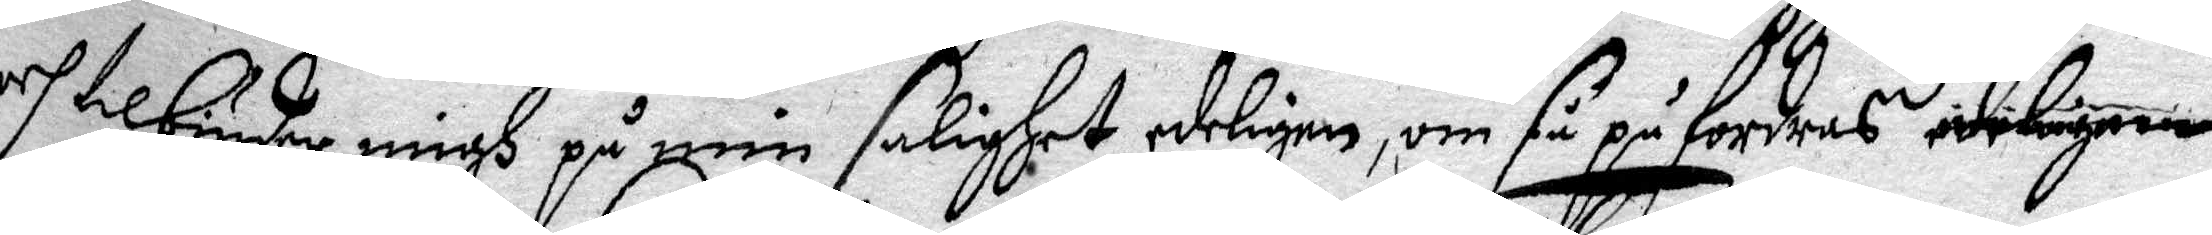och tilbiuder på min salighet edeligen, om så på fordras edeligen
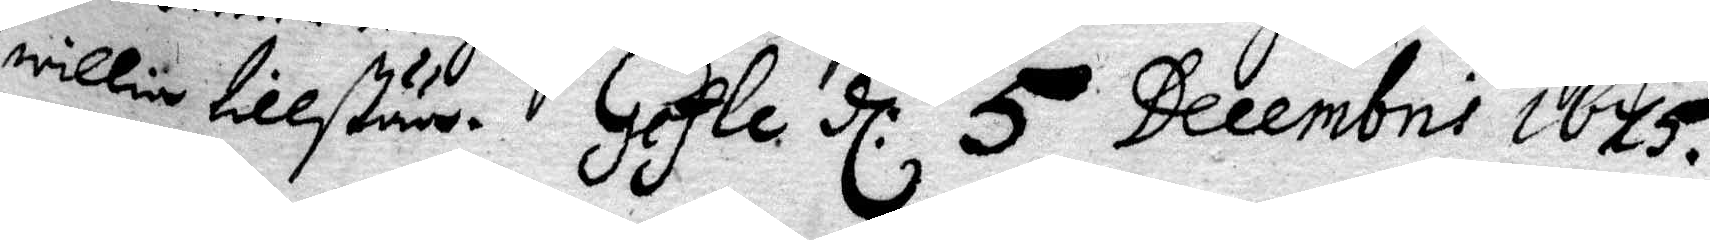willia tillståår. Gefle d: 5 Decembris 1675.
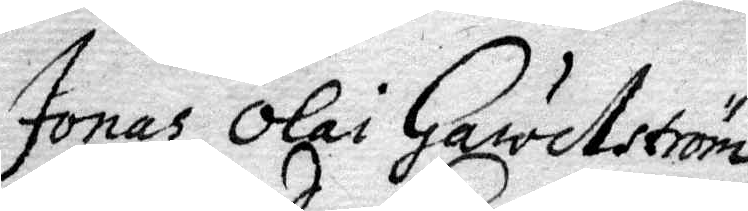Jonas Olai Gawelström
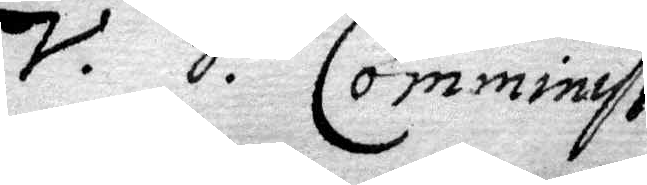Comminist.
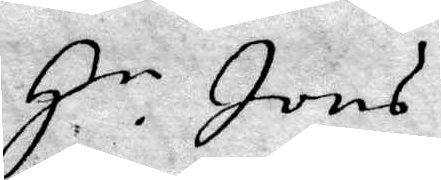H.r Jons
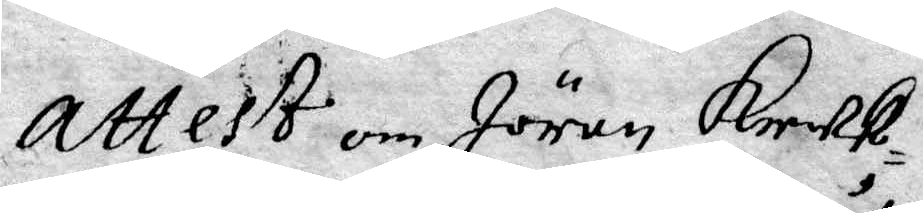Attest om Jöran Kruk¬
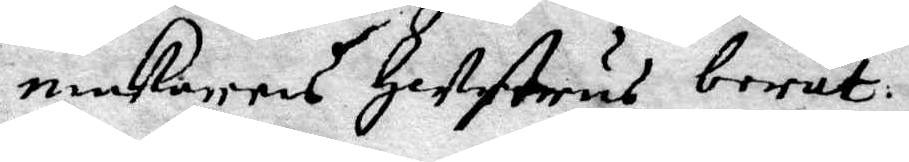makarens Hustrus berät¬
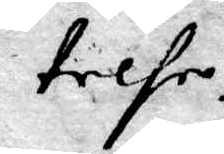telse.
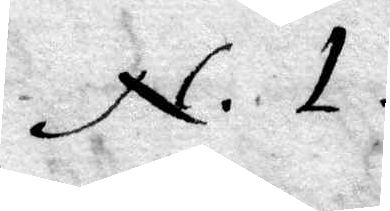N.1.
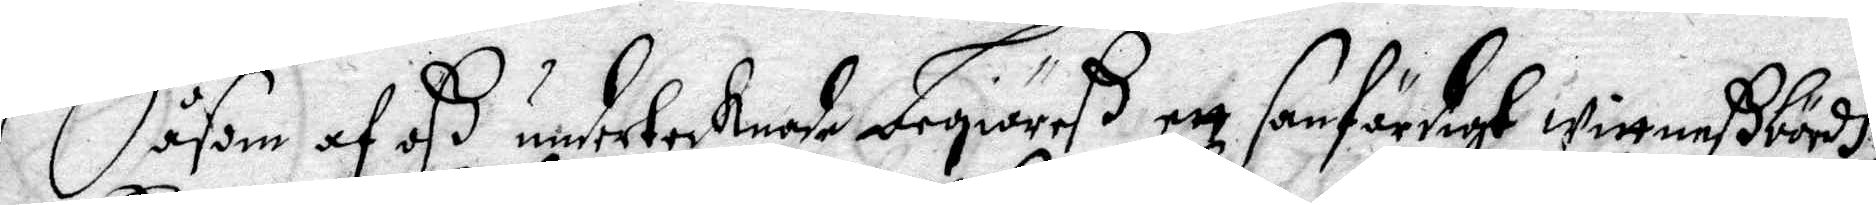Såsom af Oß undetecknade begiärß en sanfärdigh Wittneßbördh,
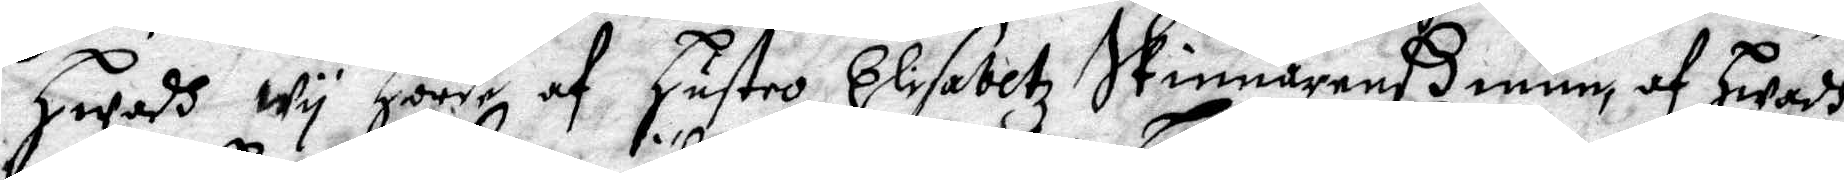Hwadh Wy hörde af Hustro Elisabetz Skinnarenß mue, af Hwadh
